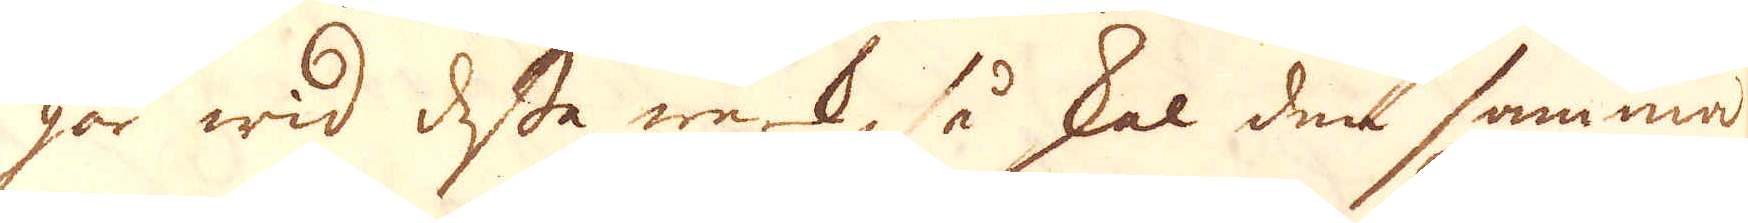går wid desse werk, så skal den samma
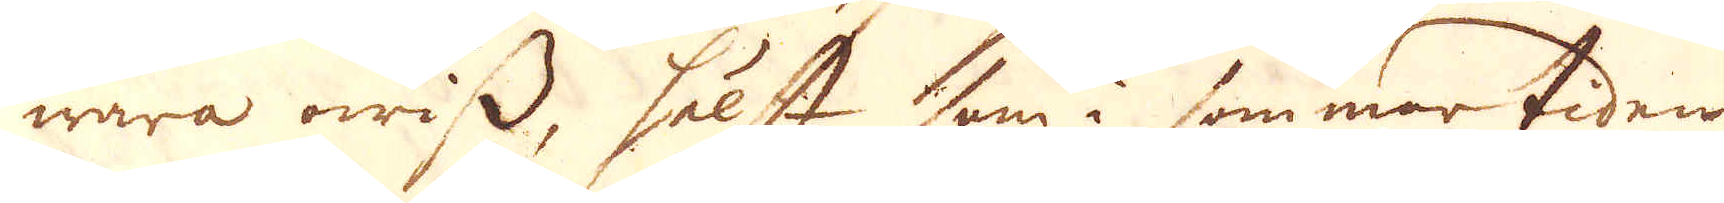wara owiss, hälst som i sommar tiden
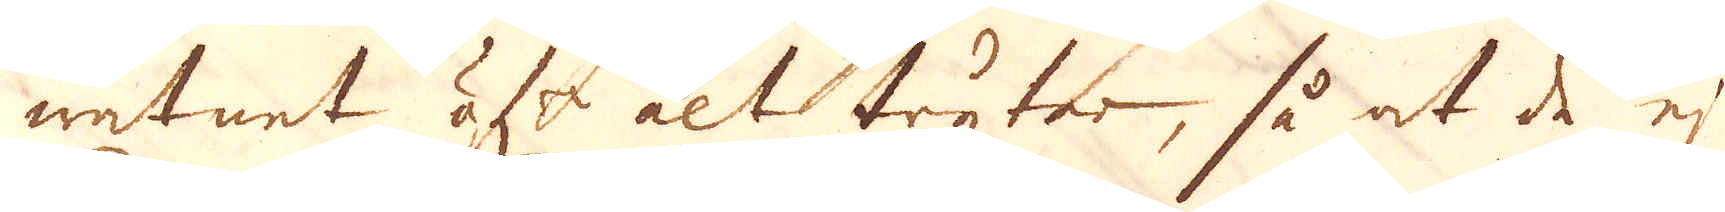watnet öfr alt tryter, så at de ej
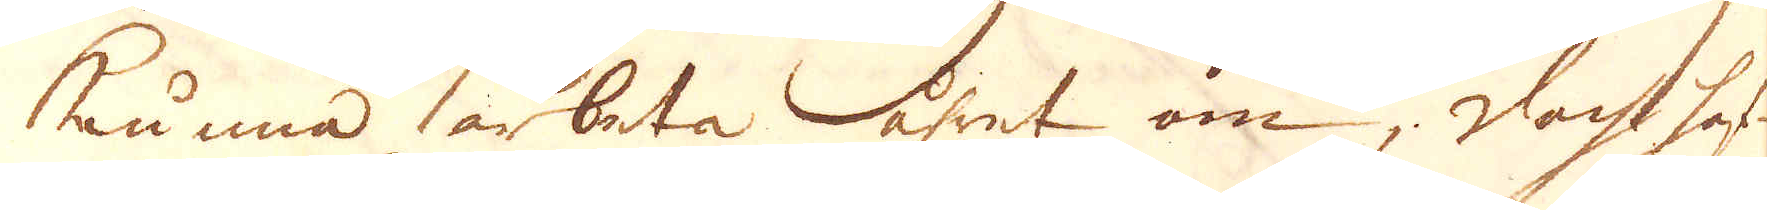kunna arbeta åhret om; doch haf-
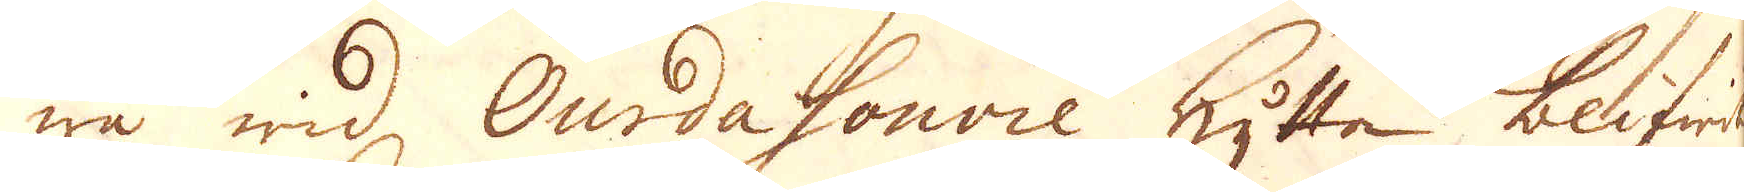wa wid Ourdasonvie hytta blifwit
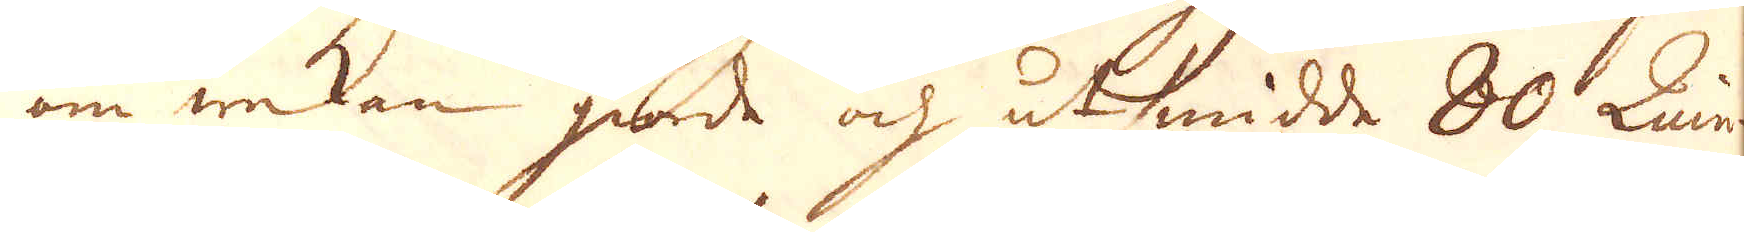om wekan giorde och utsmidde 80 Quin-
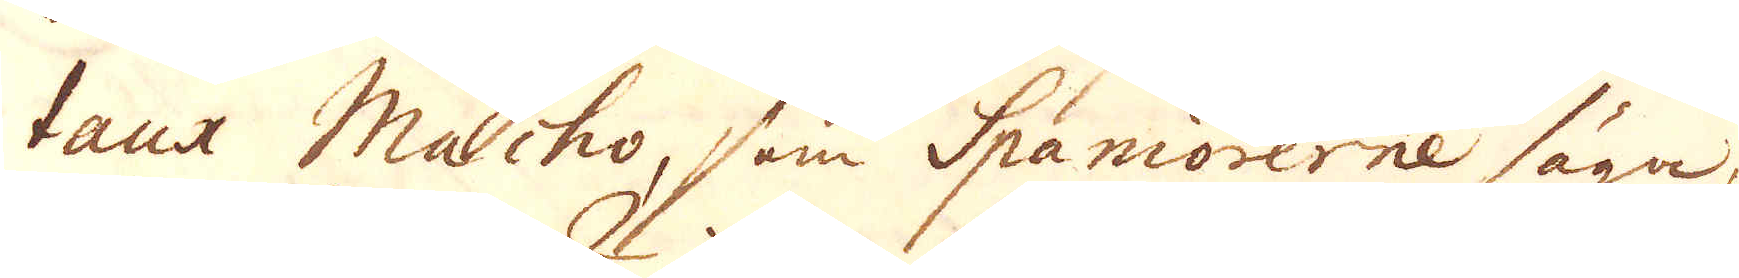taux Macho, som Spaniorerne säga,
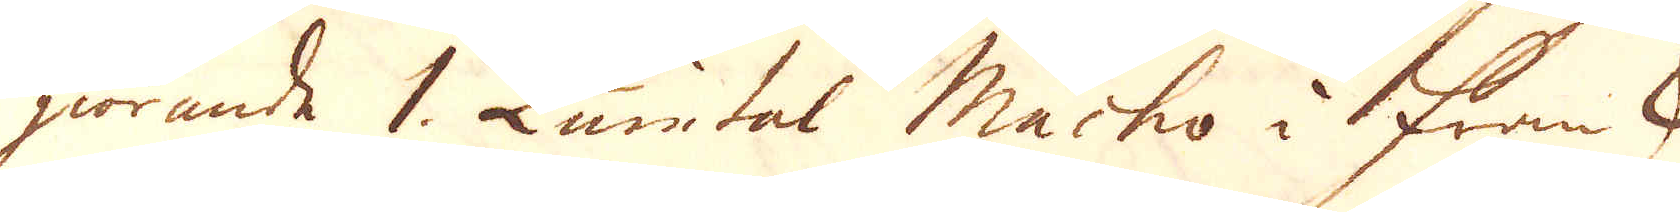giörande 1. Quintal Macho i Fransk
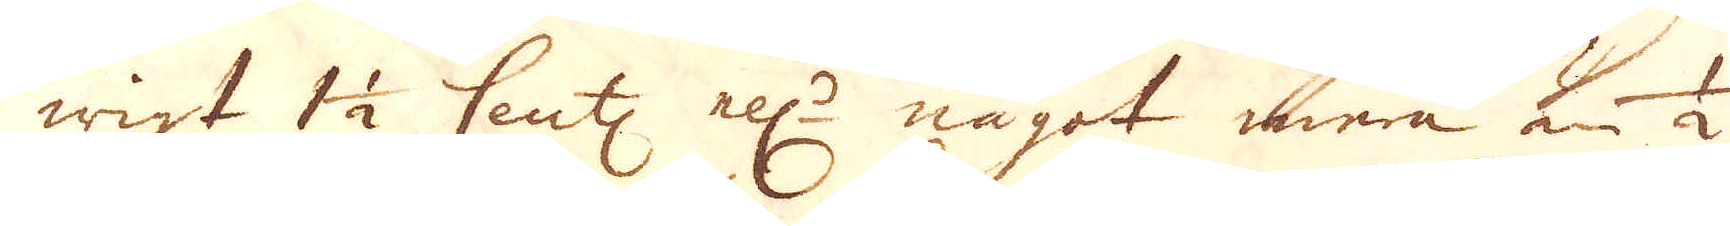wigt 1 1/2 Cent: ell:r något mera än 1/2
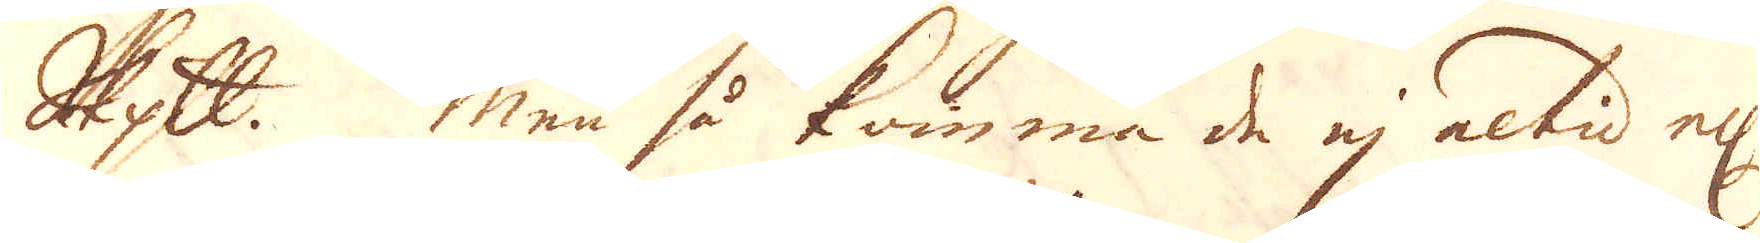Skeppund. Men så komma de ej altid el:r
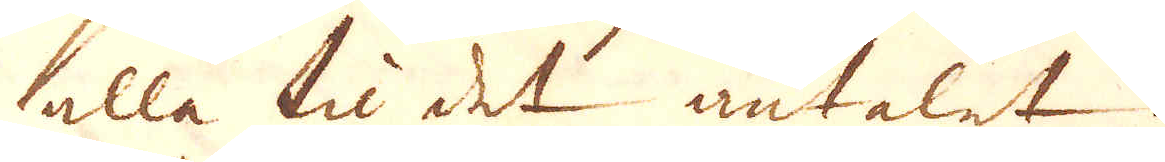alla til det antalet.
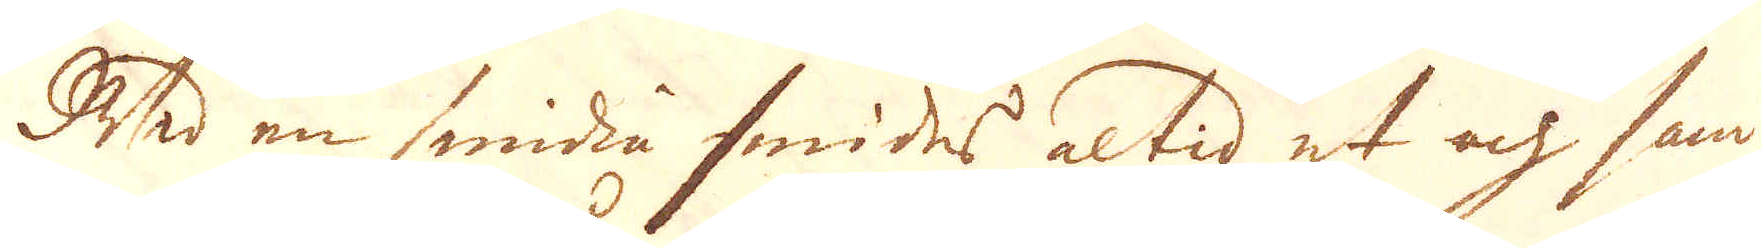Wid en smidia smides altid et och sam-
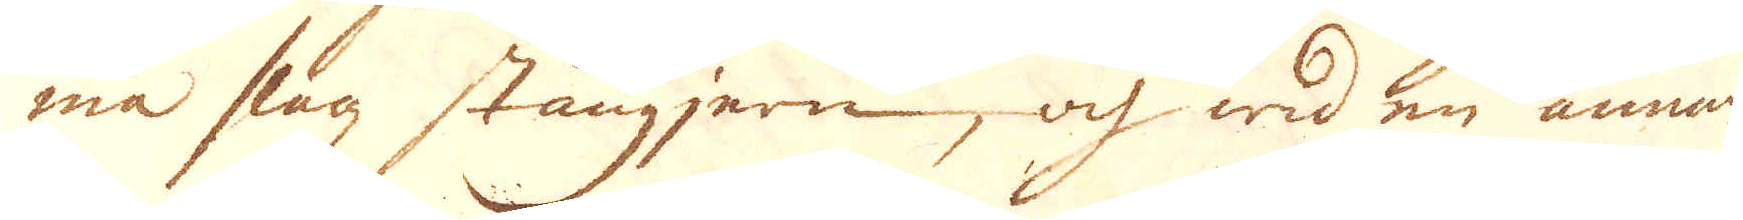ma slagz stångjern, och wid en annan
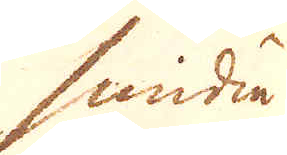smidia
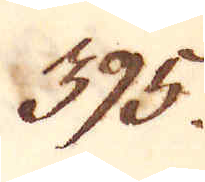395.
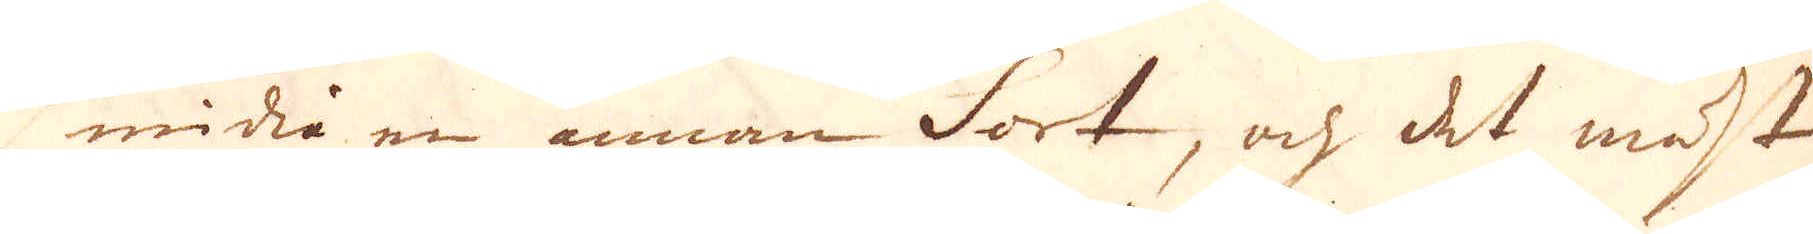smidia en annan sort, och det mäst
